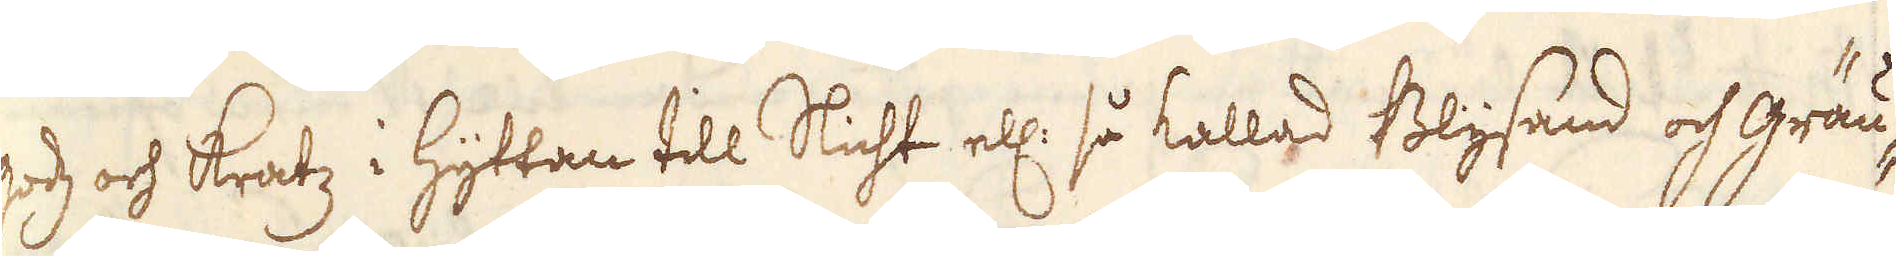gods och kratz i hyttan till Slicht ell: så kallad Blysand och Gräu-
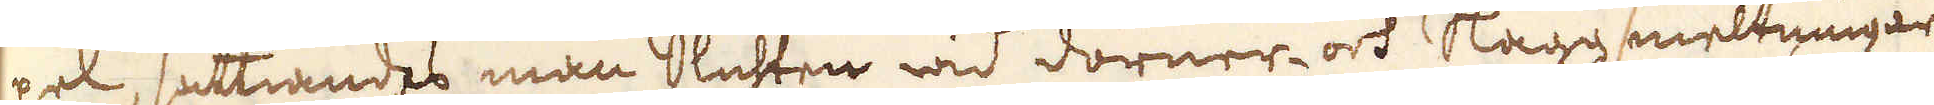pel, sättiande man Slichten wid dörner- och Slaggsmeltningar
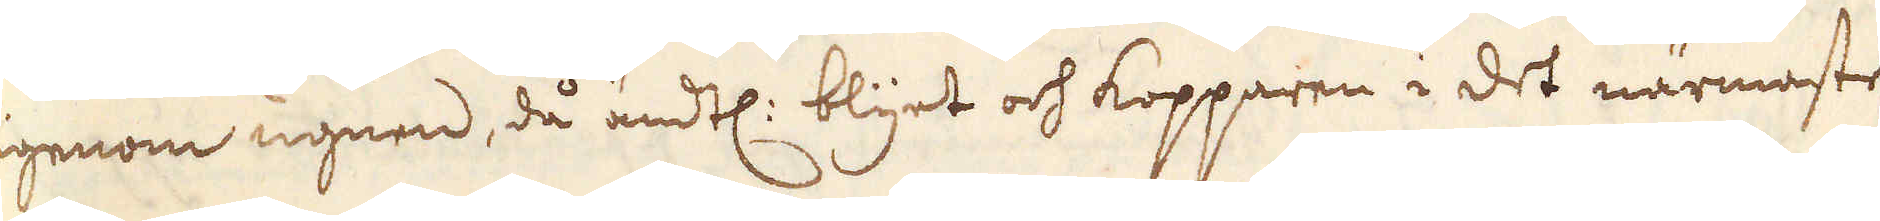igenom ugnen, då ändtl: blyget och kopparen i det närmaste
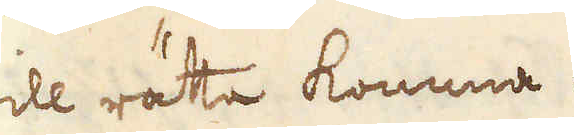till rätta komma.
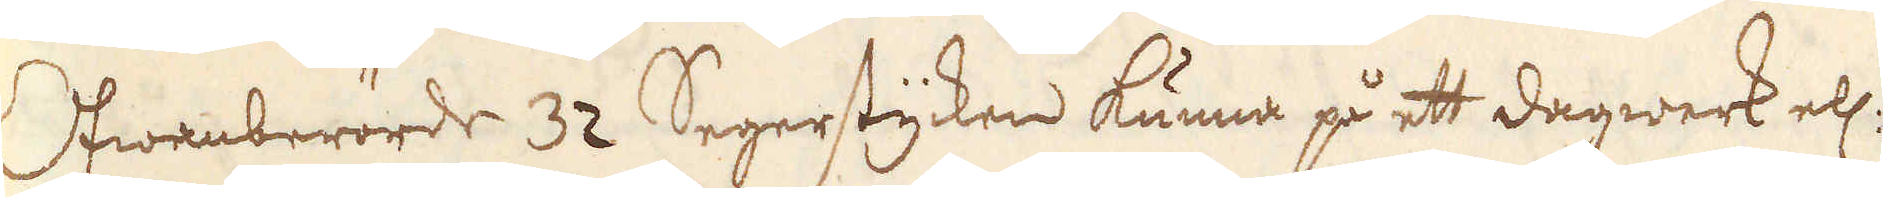Ofwanberörde 32 Segerstycken kunna på ett dagwerk ell:
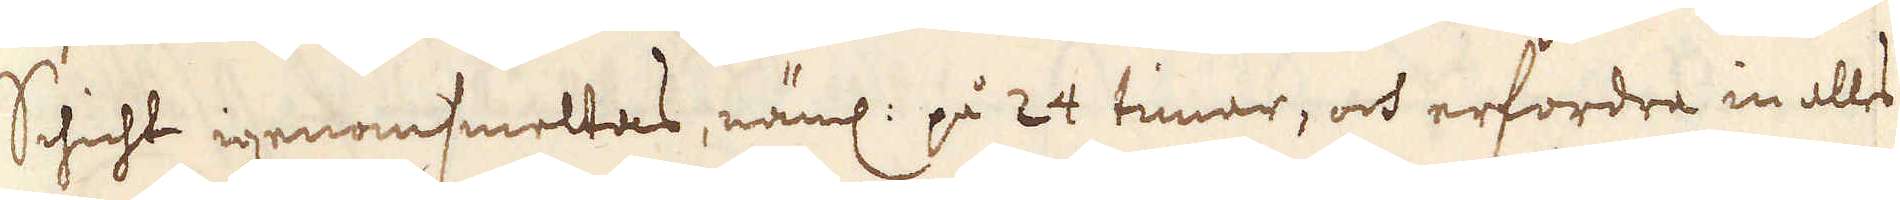Schicht igenomsmeltas, näml: på 24 timar, och erfordra in alles
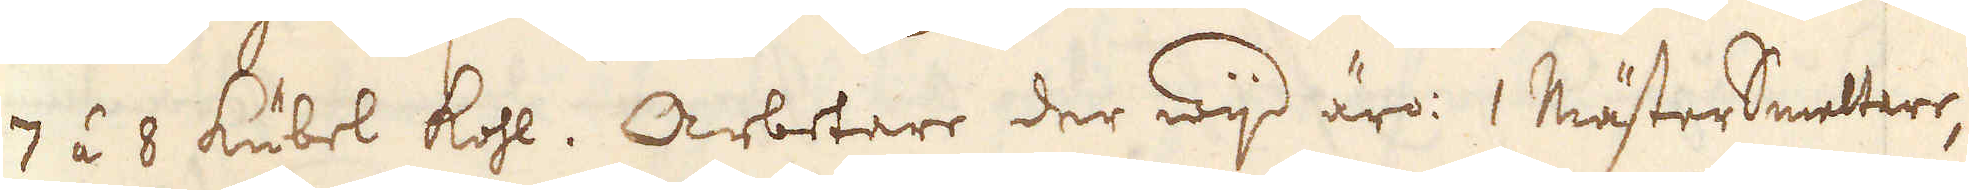7 á 8 kubel kohl. Arbetare der wijd äro: 1 MästerSmelterr,
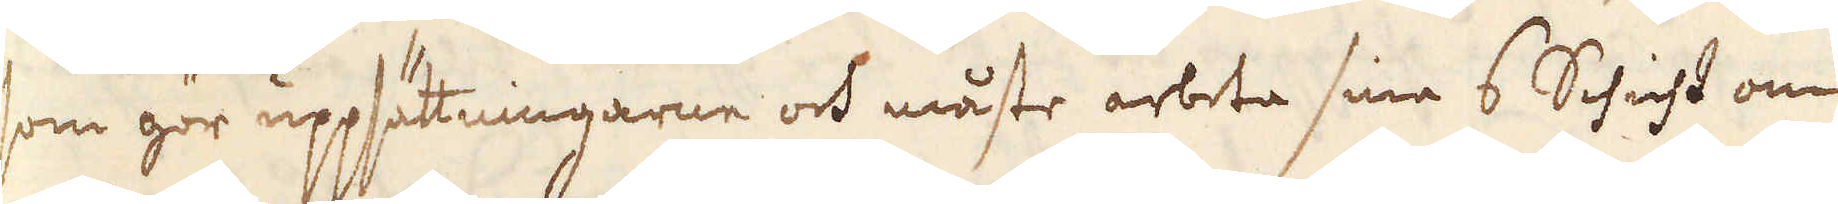som gör uppsätningarne och måste arbeta sina 6 Schicht om
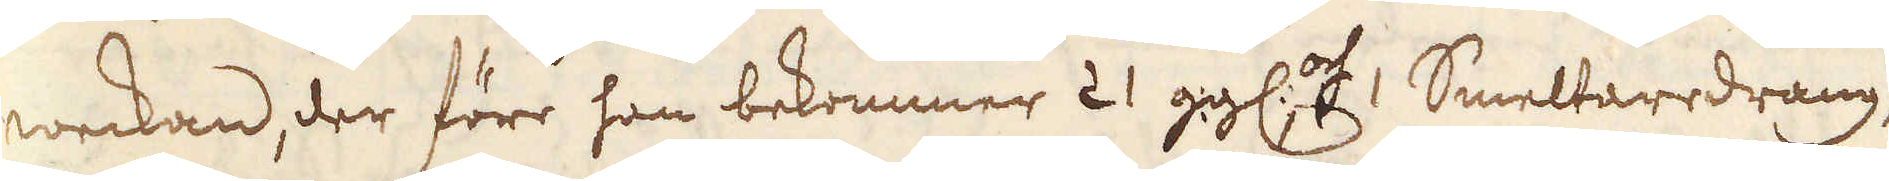weckan, der före han bekommer 21 ggl:, och 1 Smeltaredräng,
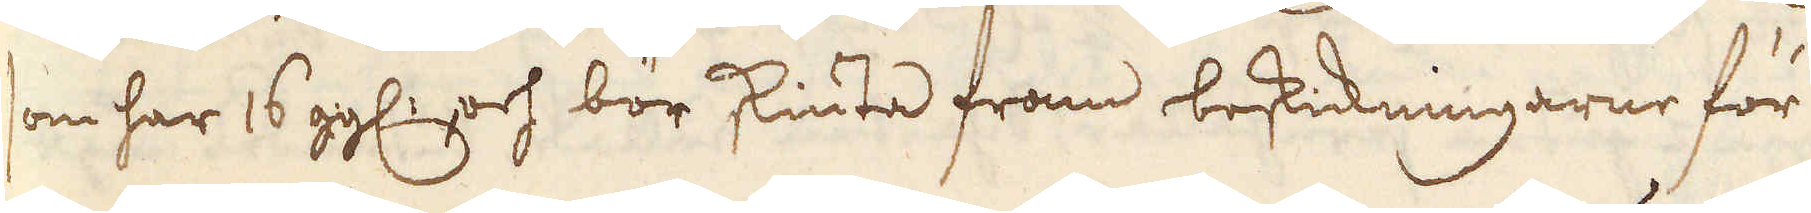som har 16 ggl:, och bör skiuta fram beskickningarne för
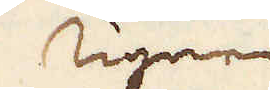ugnen
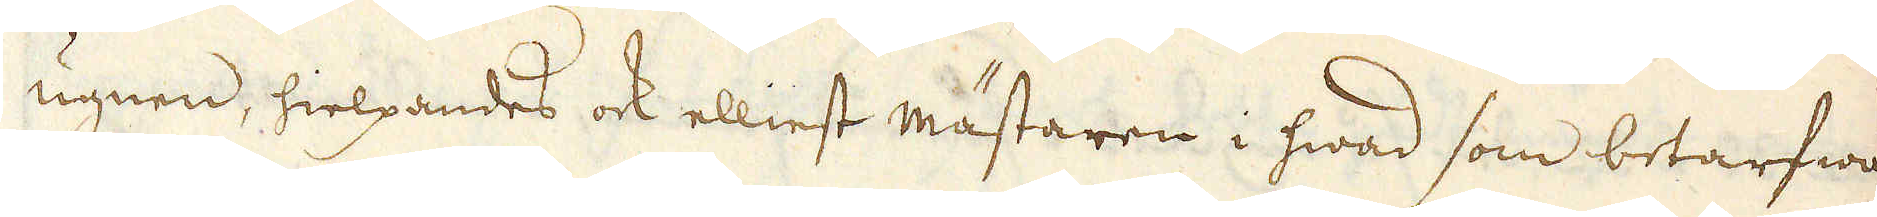ugnen, hielpandes ock elliest mästaren i hwad som betarfwas
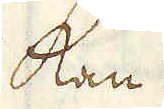kan.
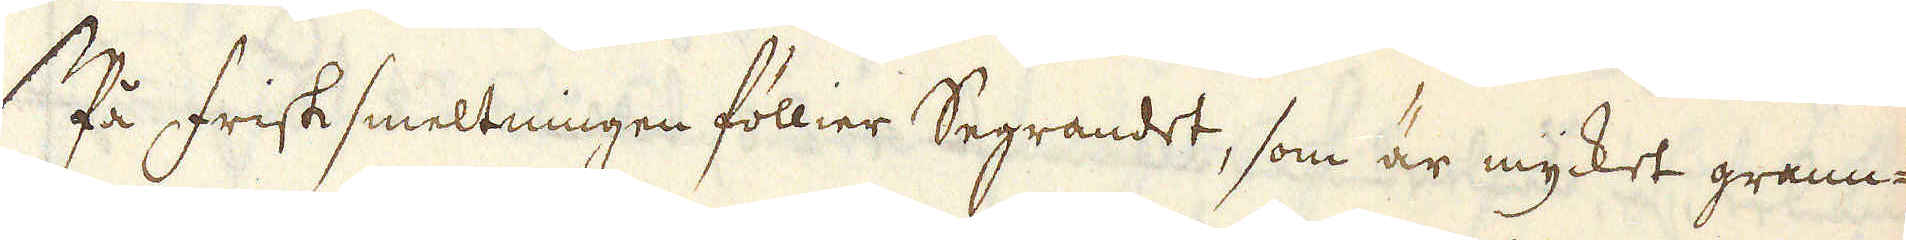På frisk smeltningen föllier Segrandet, som är mycket grann-
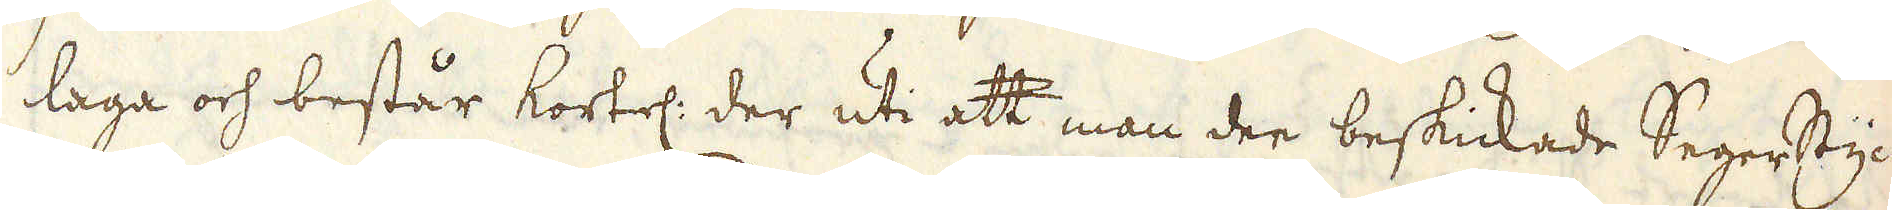laga och består kortel: der uti att man der beskickade Segerstyc-
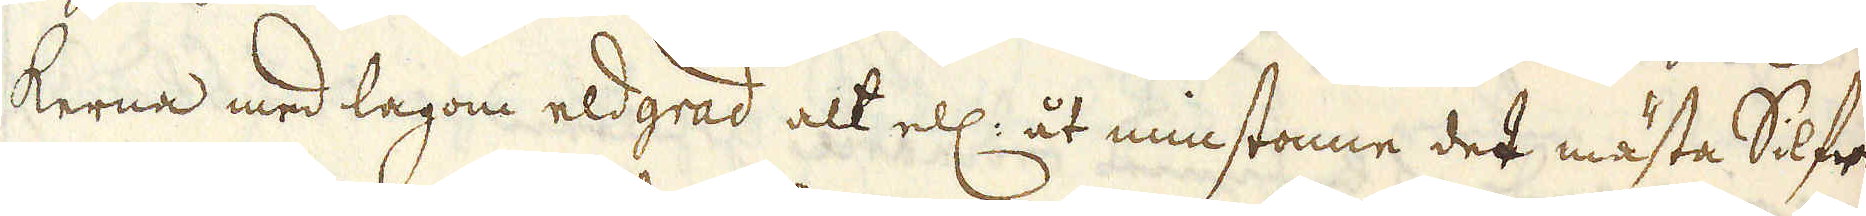kerna med lagom eldgrad alt ell: åt minstonne det mästa Silfr
